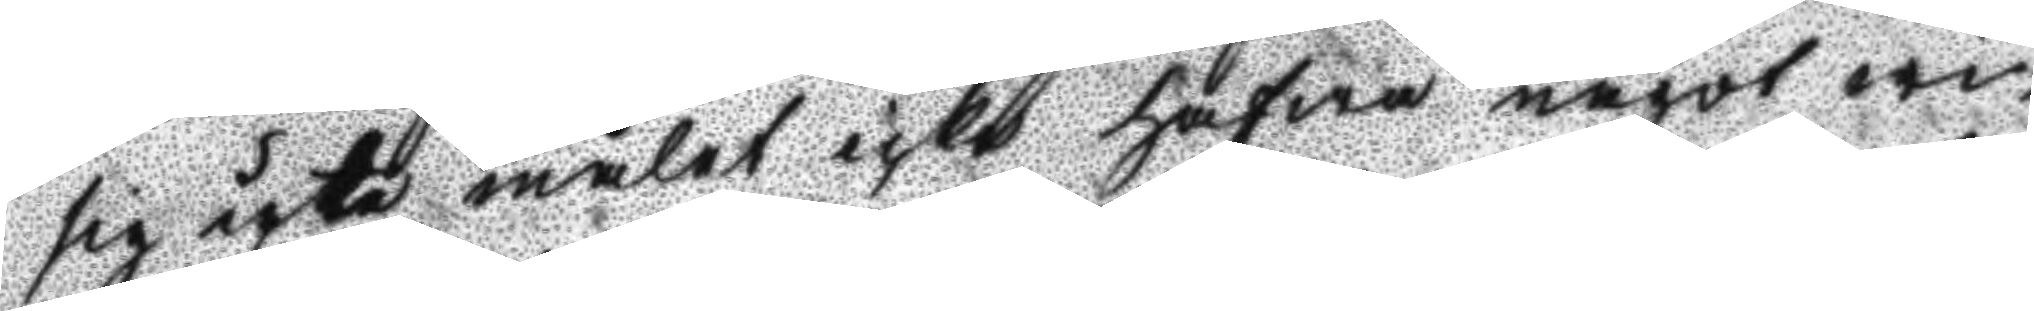sig uti målet icke hafwa något wi¬
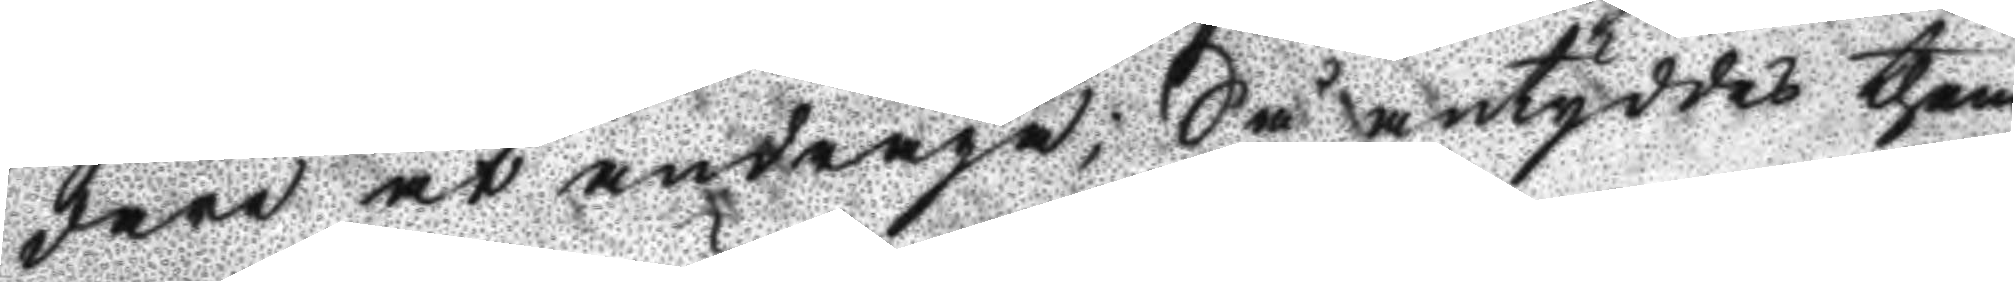dare at andraga; Så antyddes them
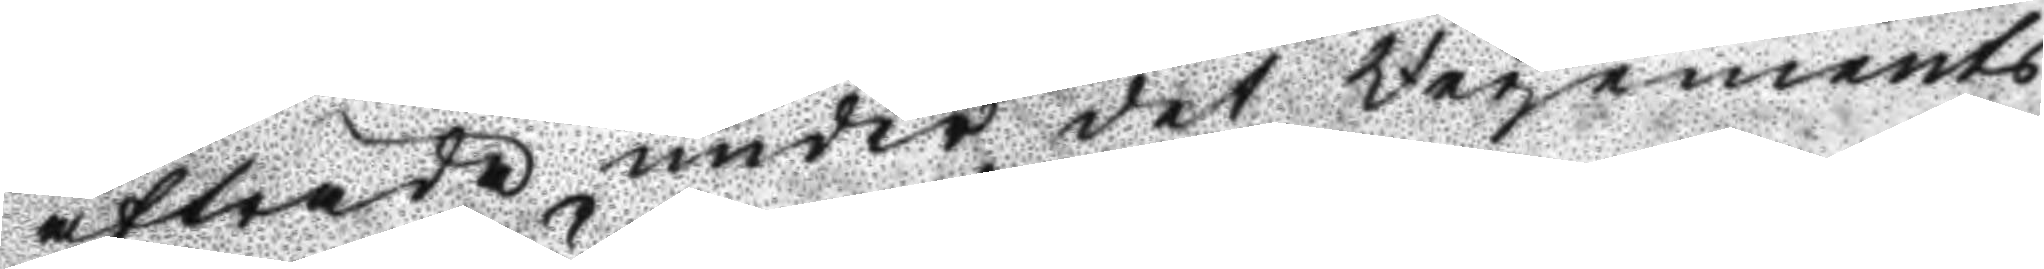afträda under det Regements
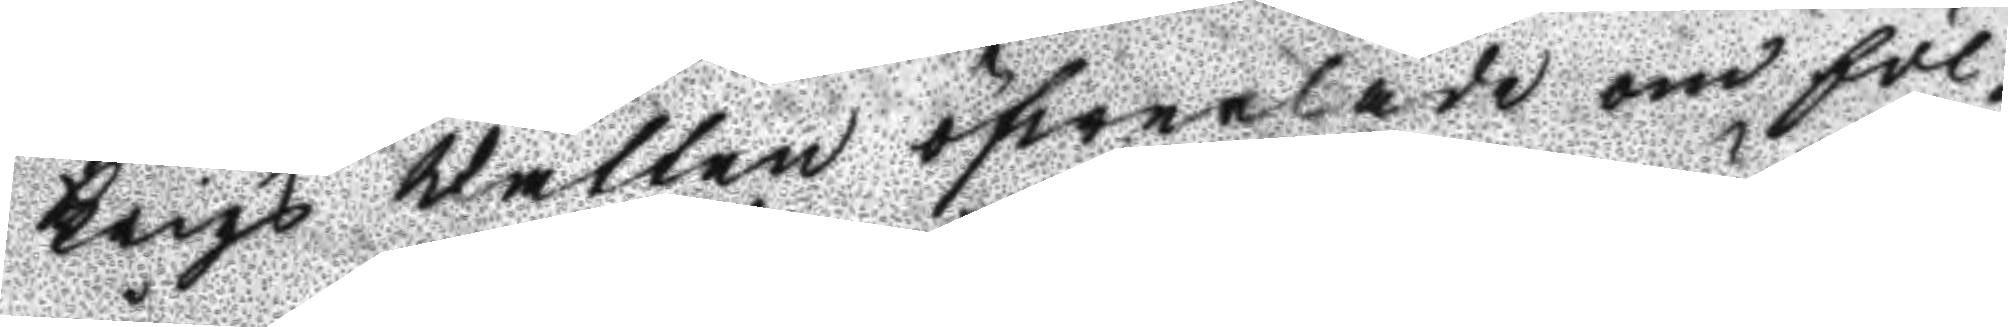Krigs Rätten öfwerlade om föl¬
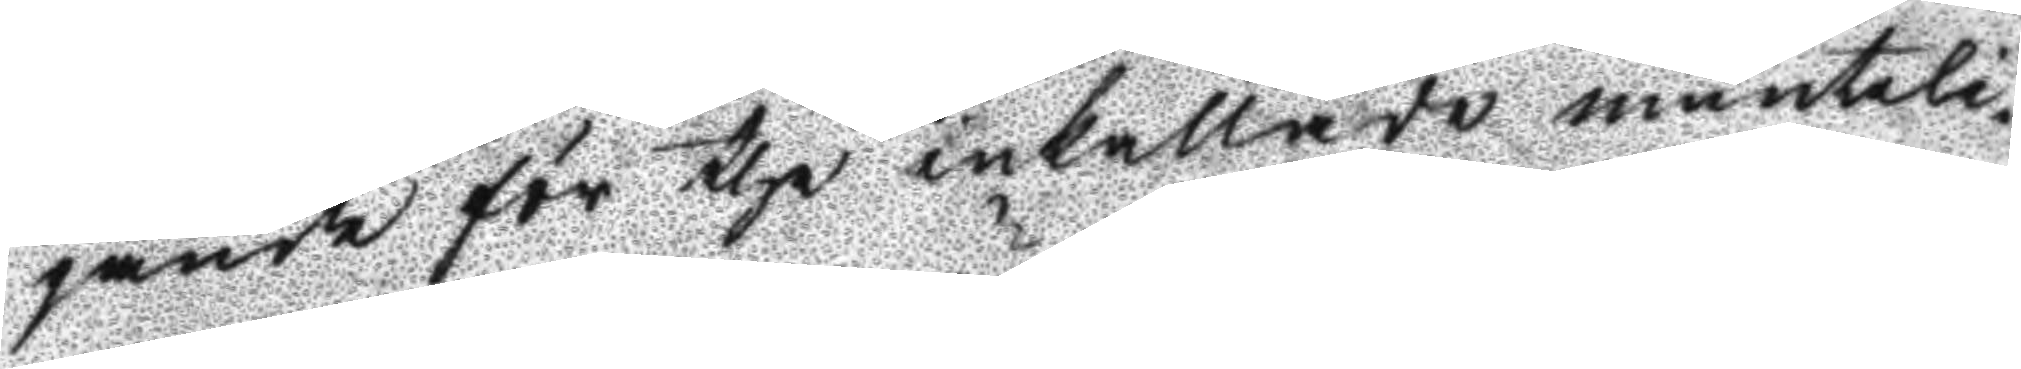jånde för the inkallade munteli¬
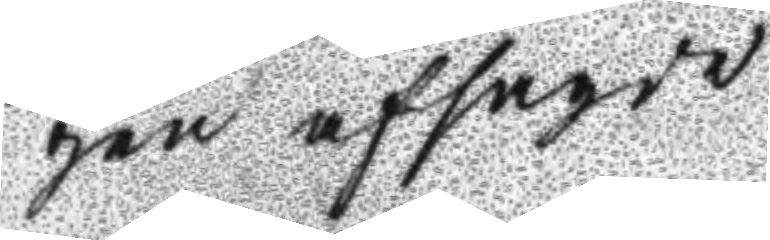gen afsagde
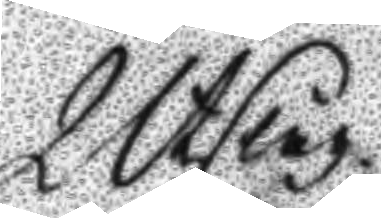Utslag
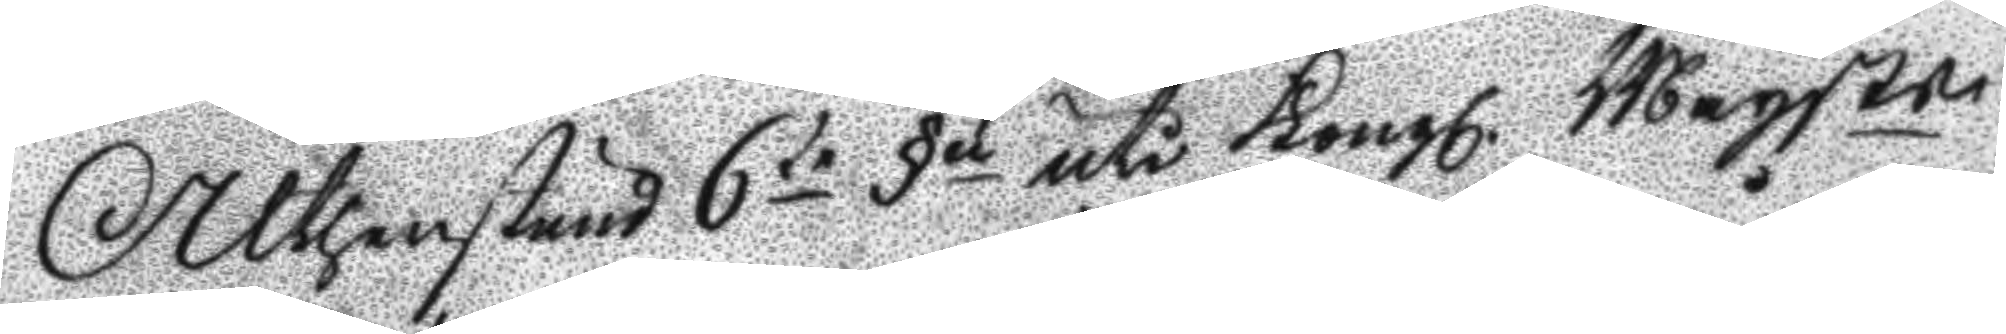Althenstund 6te §n uti Kongl. Maysts
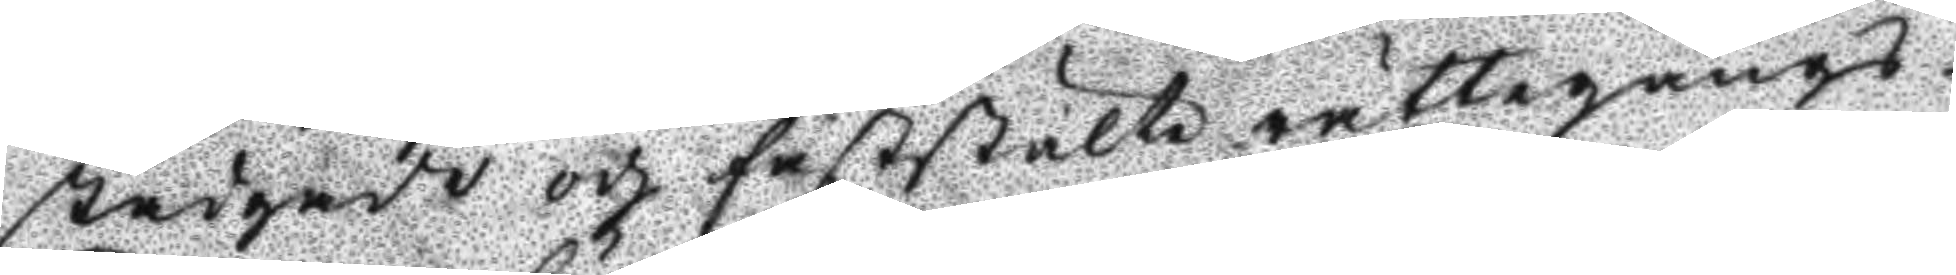stadgade och faststälte rättegångs¬
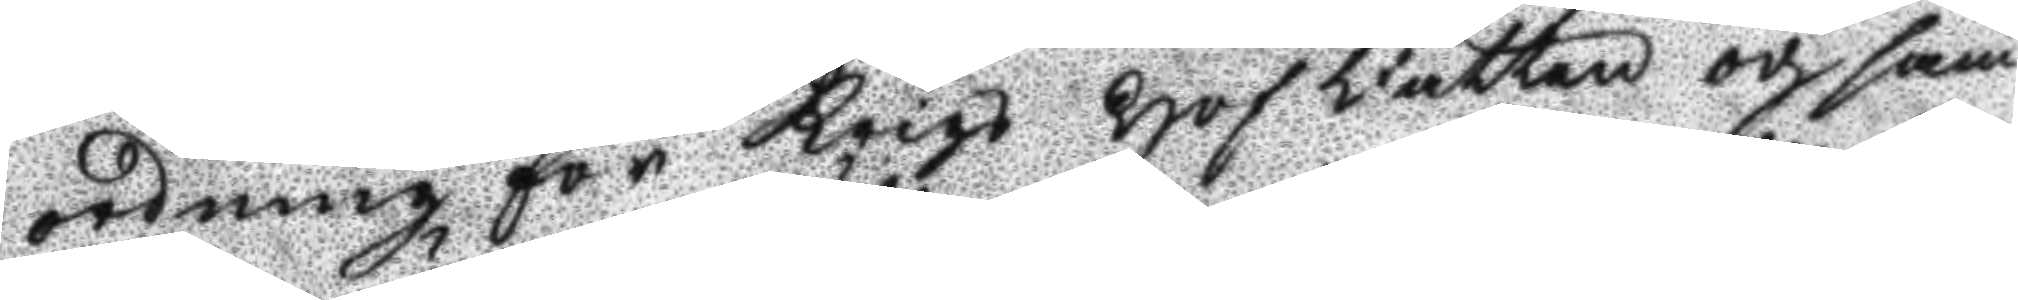ordning för Krigs Hof Rätten och sam¬
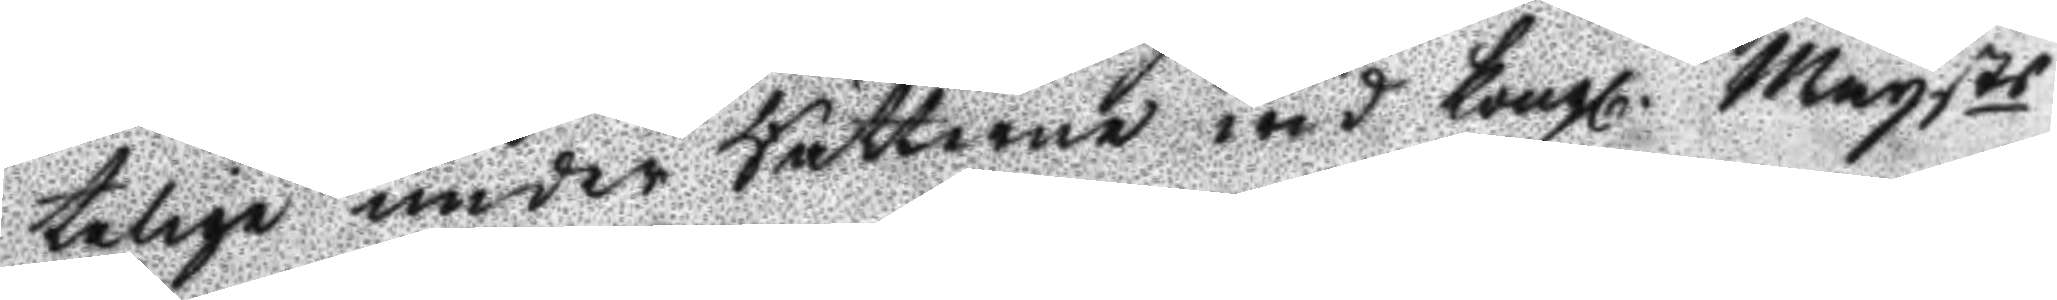telige under Rätterne wid Kongl. Maytts
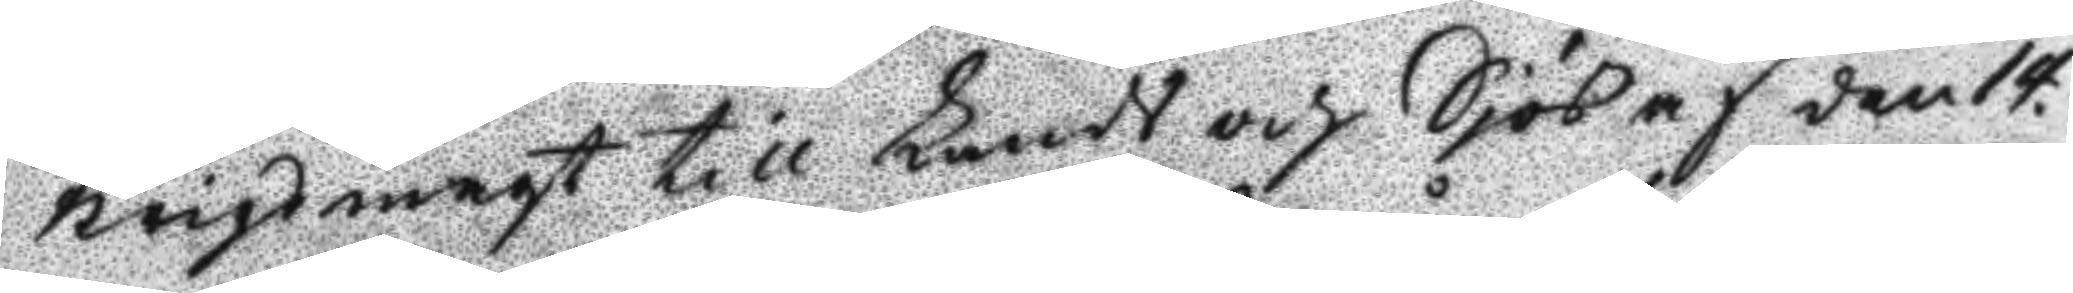Krigsmagt till Lands och Sjös af den 14.
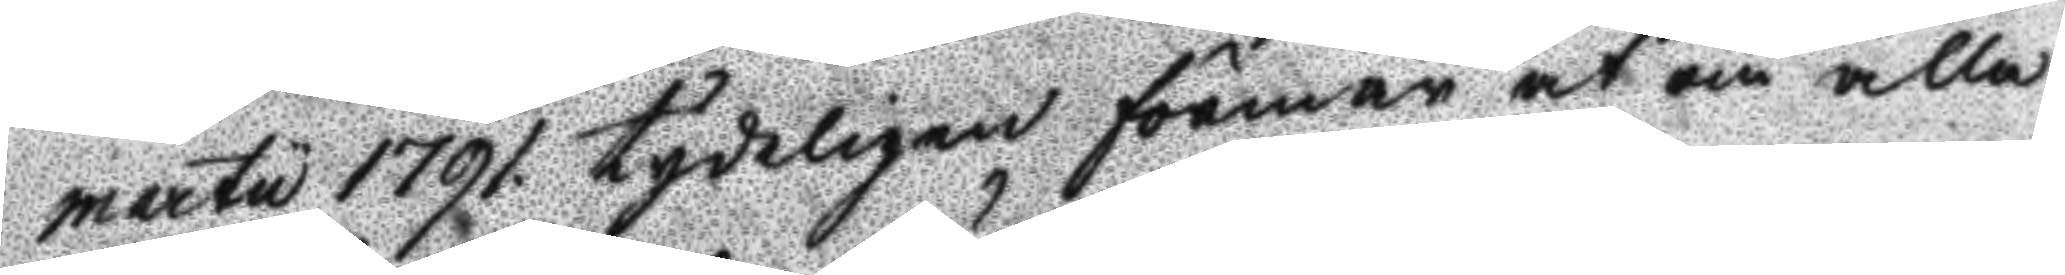martii 1791 tydeligen förmår at om alla
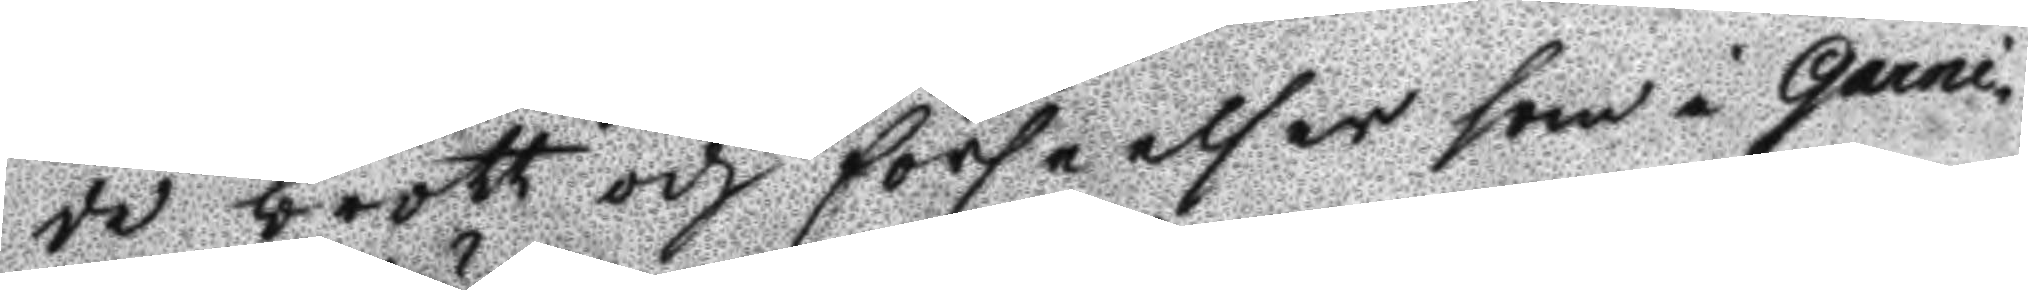de brott och förseelser som i Garni¬
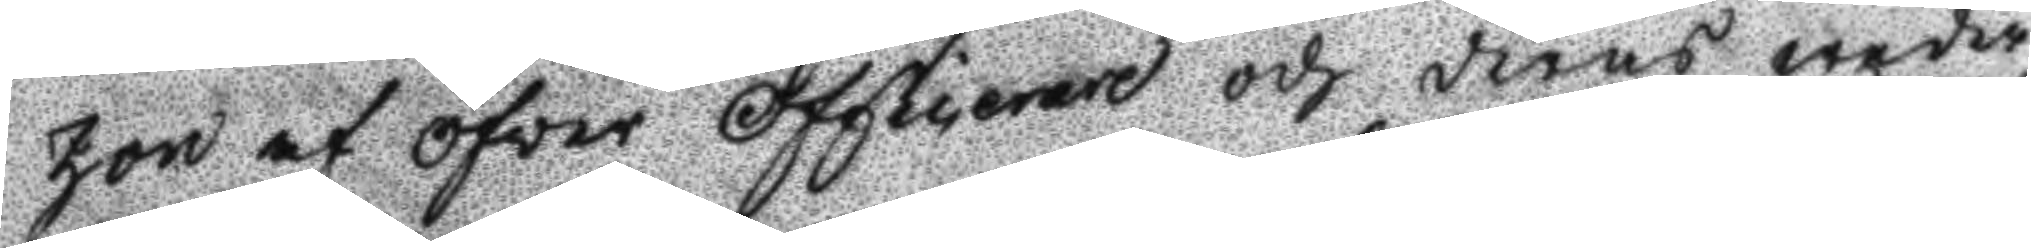zon af öfver Officerare och deras weder¬
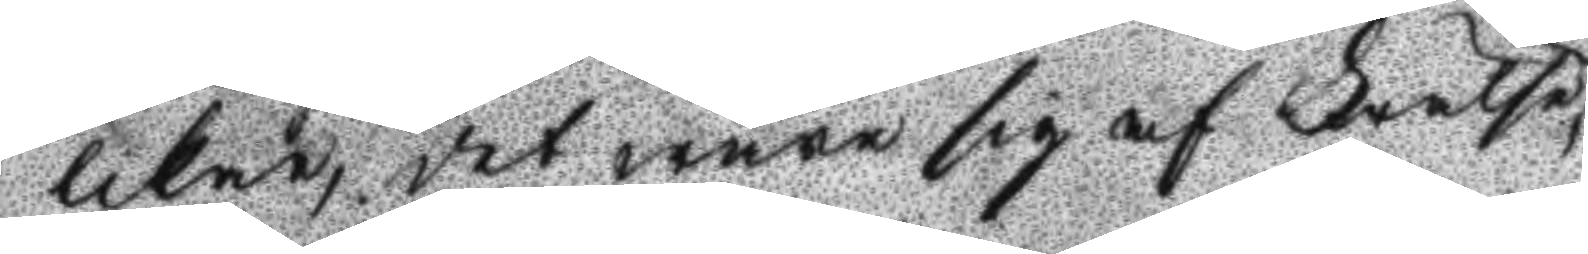likar, det wara sig af Frelse 
